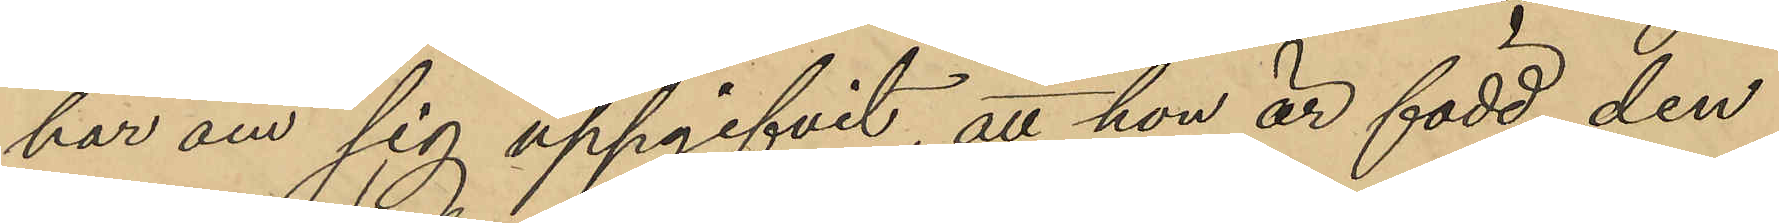har om sig uppgifvit, att hon är född den
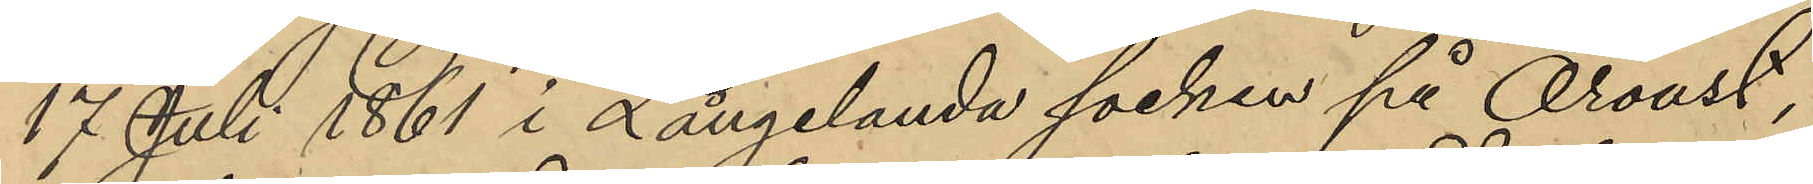17 Juli 1861 i Långelanda socken på Oroust,
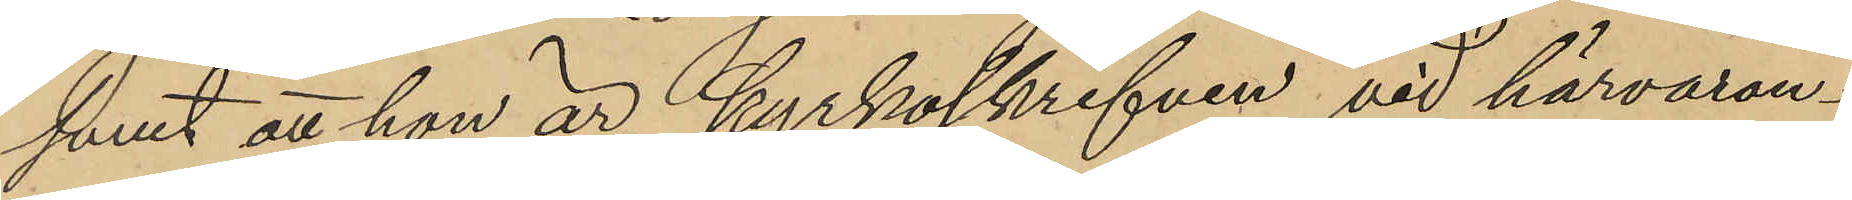samt att hon är kyrkoskrifven vid härvaran¬
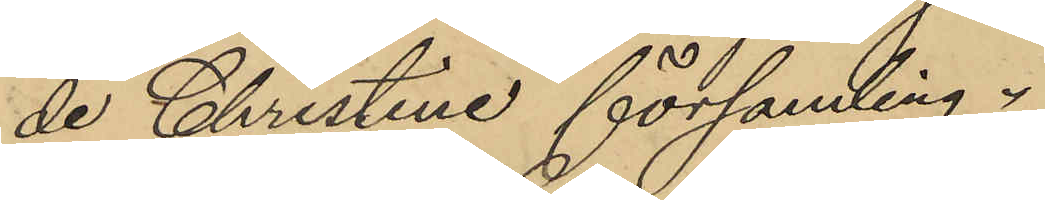de Christine församling.
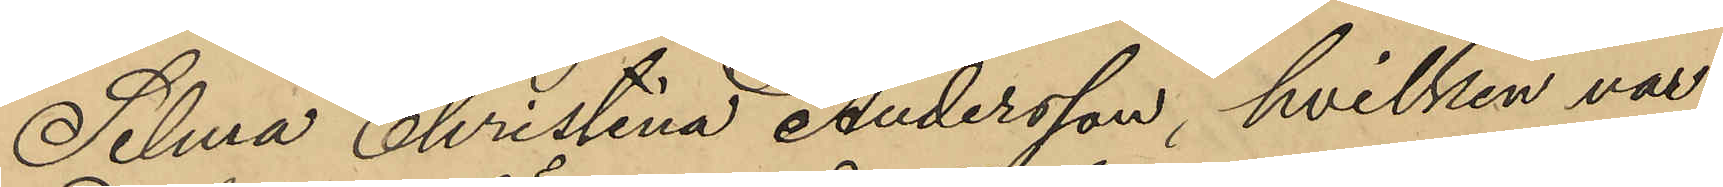Selma Christina Andersson, hvilken var
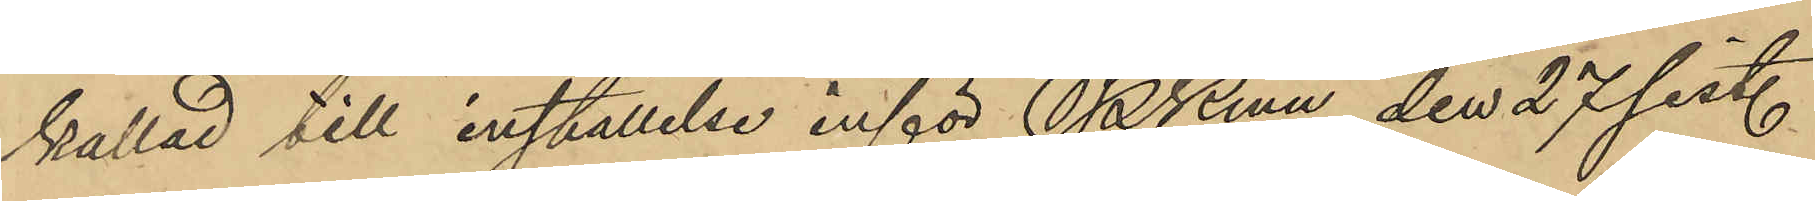kallad till inställelse inför Pkmn den 27 sist.
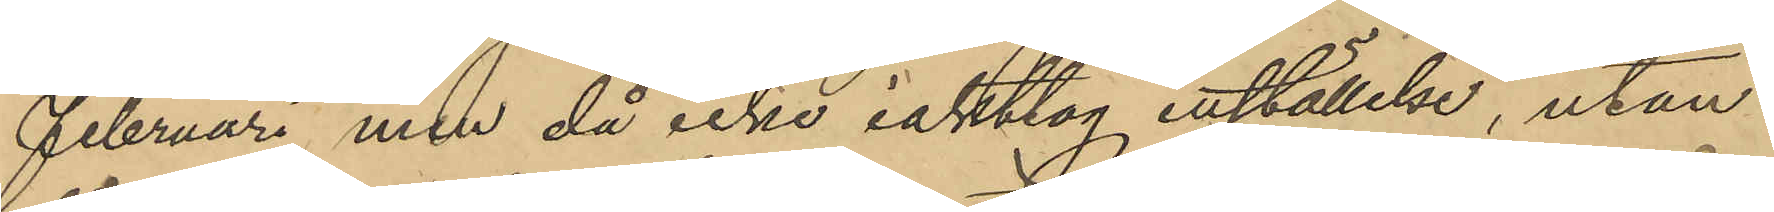Februari men då icke iakttog inställelse, utan
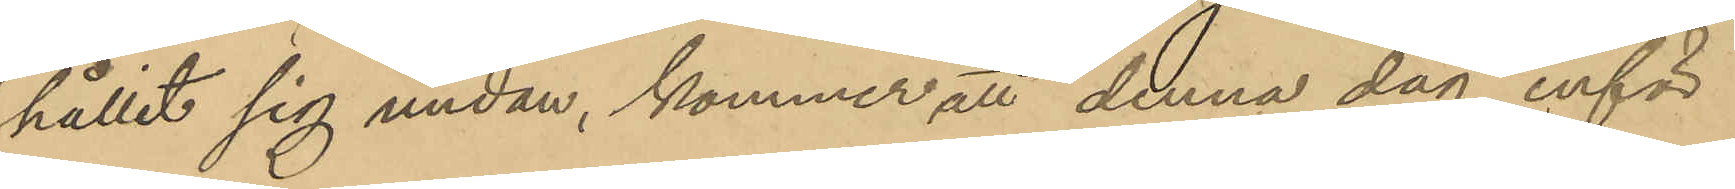hållit sig undan, kommer att denna dag inför
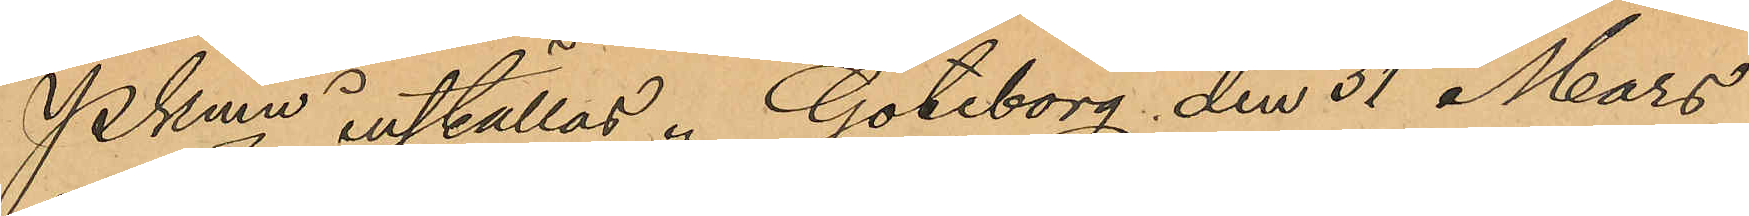Pkmn inställas. Göteborg den 31 Mars
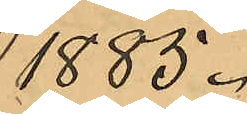1885.
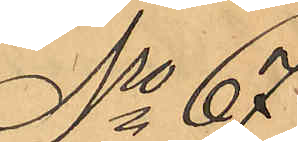No 67
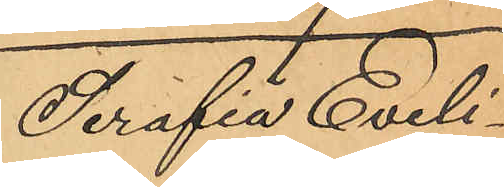Serafia Eveli¬
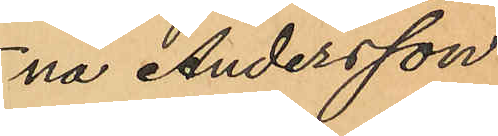na Andersson
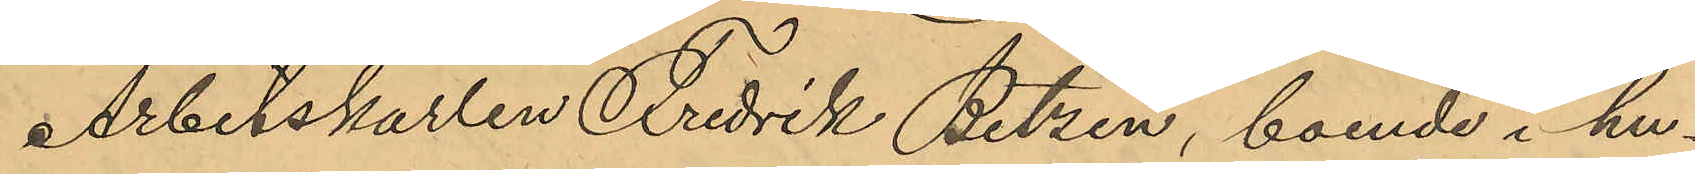Arbetskarlen Fredrik Betzén, boende i hu¬
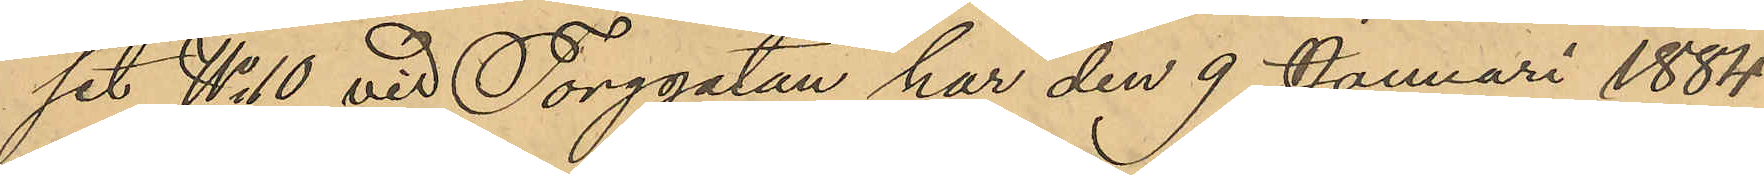set No 10 vid Torggatan har den 9 Januari 1884
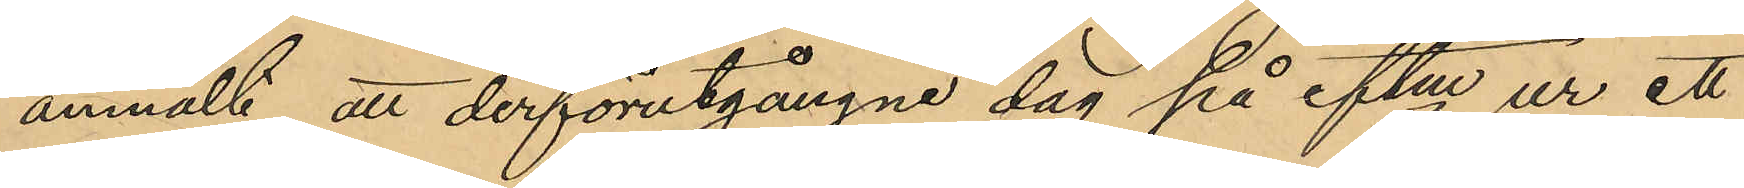anmält, att derförutgångne dag på eftm ur ett
